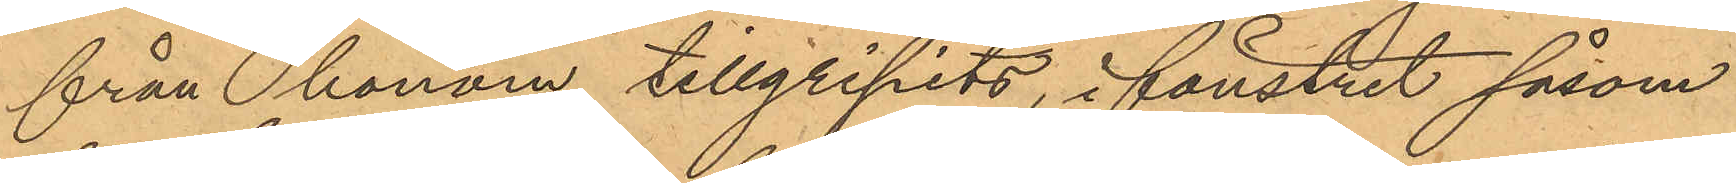från honom tillgripits, i fönstret såsom
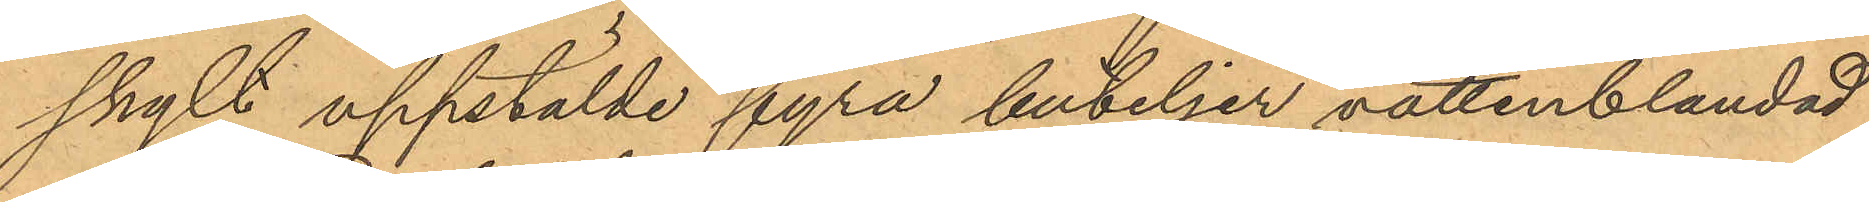skylt uppstälde fyra buteljer vattenblandad
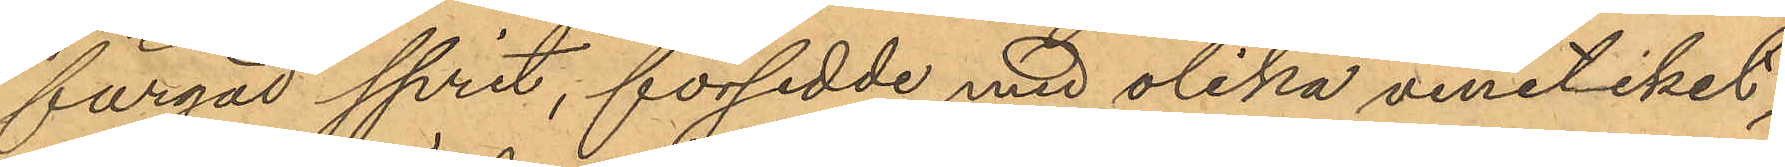färgad sprit, försedde med olika vinetiket¬
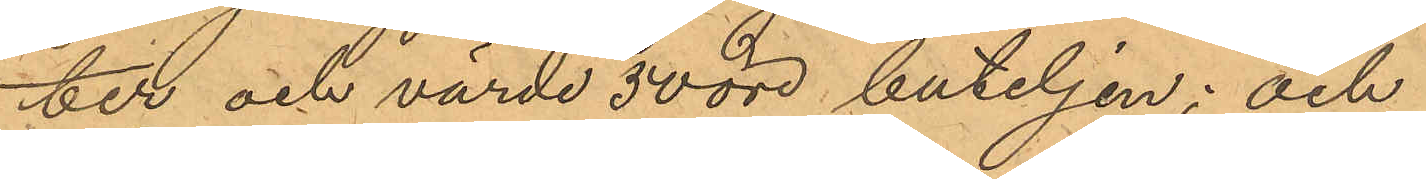ter och värde 50 öre buteljen; och
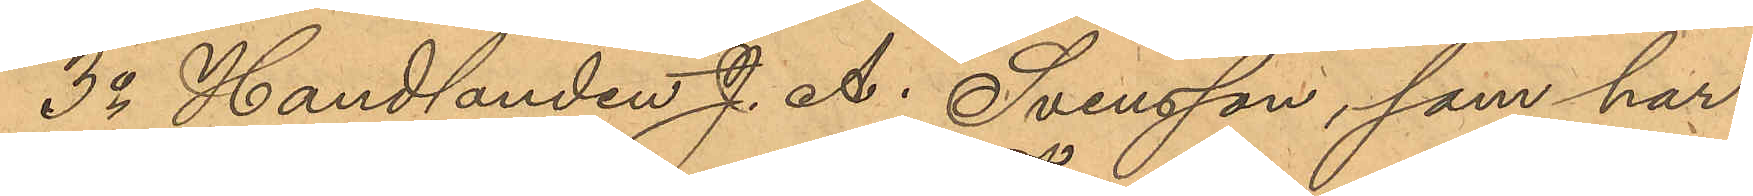3o Handlanden J. A. Svensson, som har
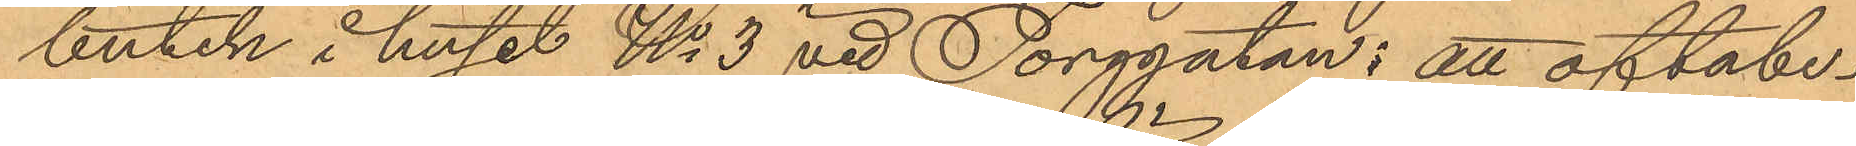butik i huset No 3 vid Torggatan: att oftabe¬
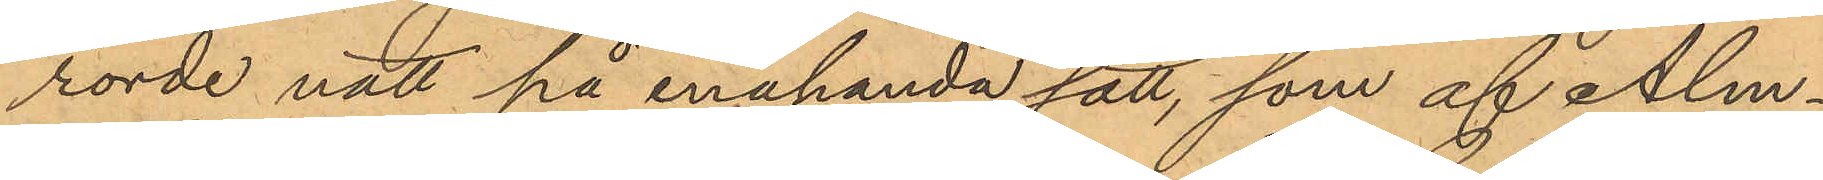rörde natt på enahanda sätt, som af Alm¬
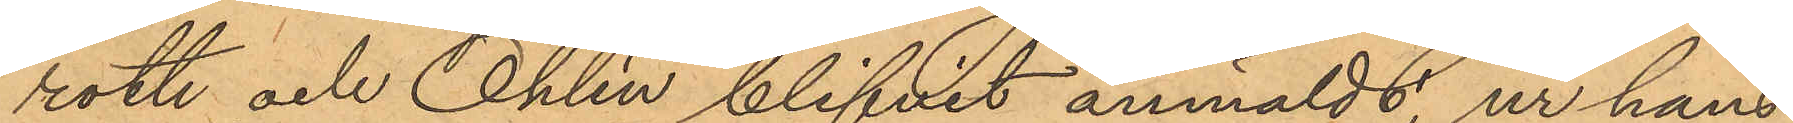roth och Ohlin blifvit anmäldt, ur hans
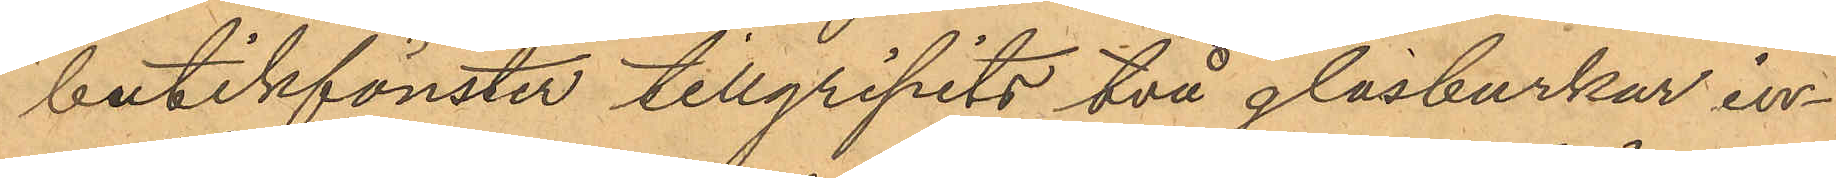butikfönster tillgripits två glasburkar in¬
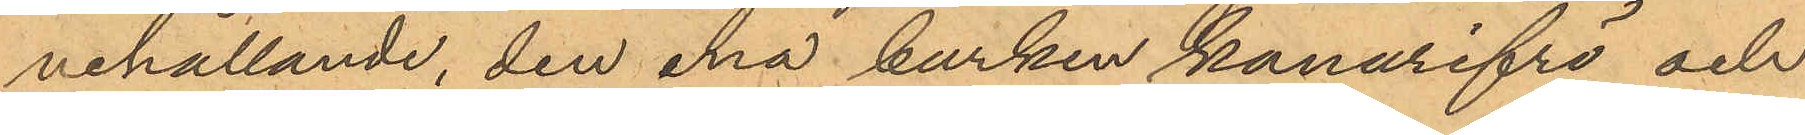nehållande, den ena burken kanarifrö och
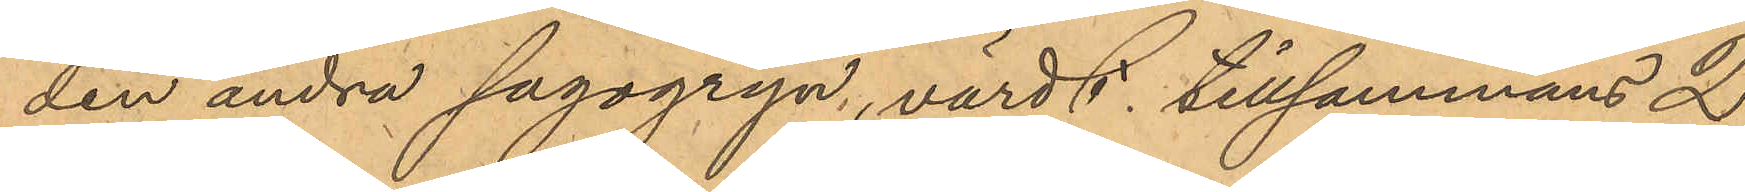den andra sagogryn, värdt, tillsammans 2
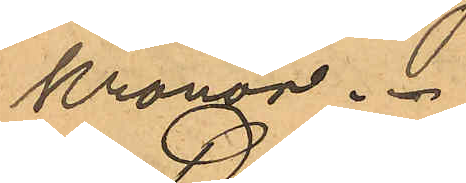Kronor.
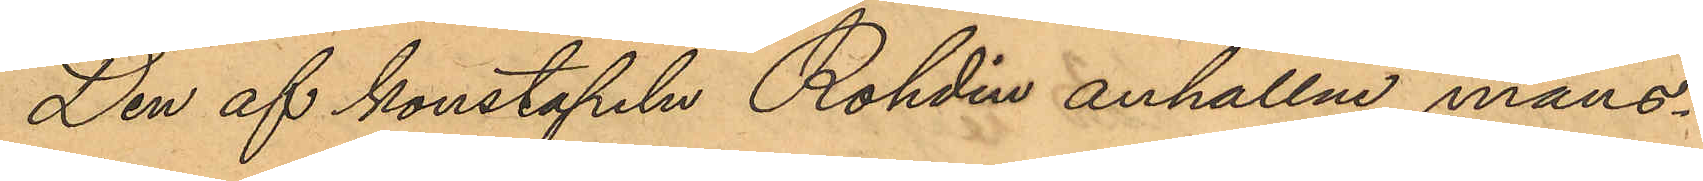Den af konstapeln Rohdin anhållne mans¬
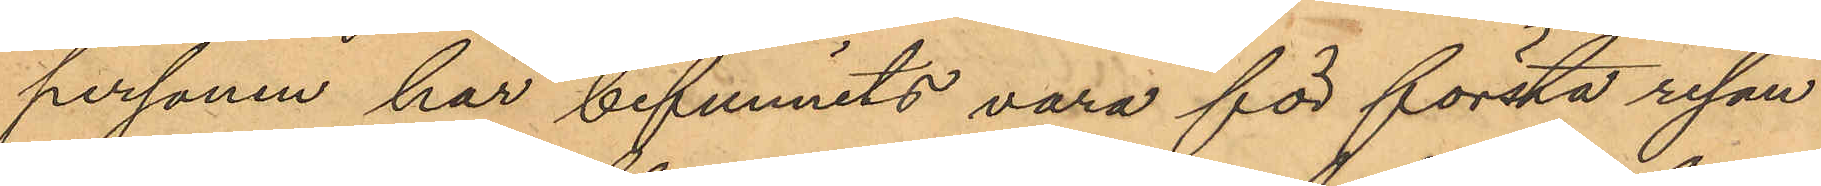personen har befunnits vara för första resan
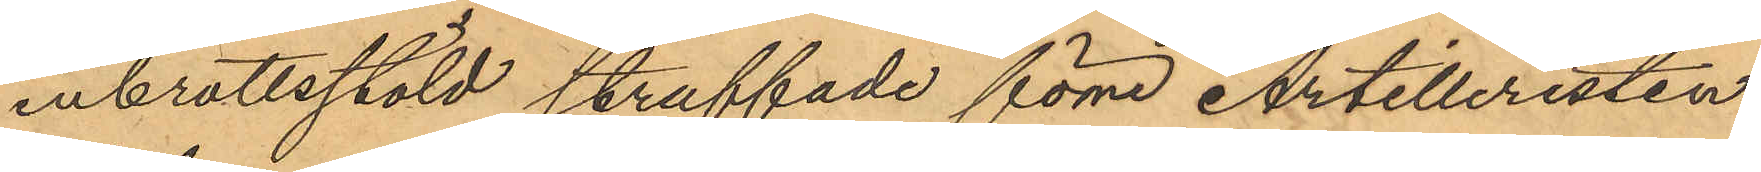inbrottsstöld straffade förre Artilleristen
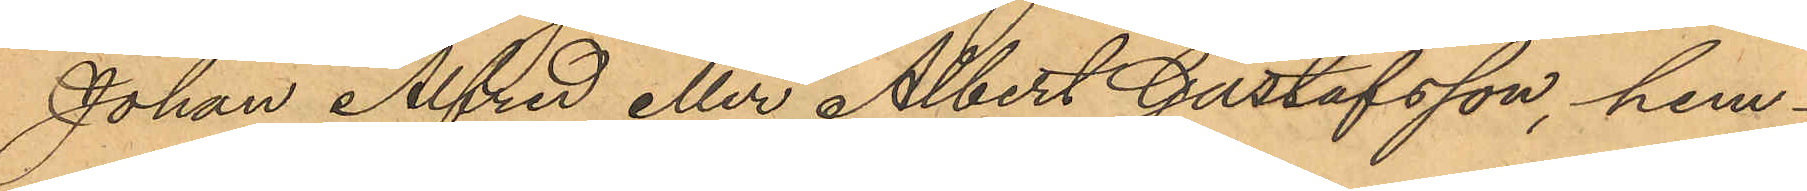Johan Alfred eller Albert Gustafsson, hem¬
